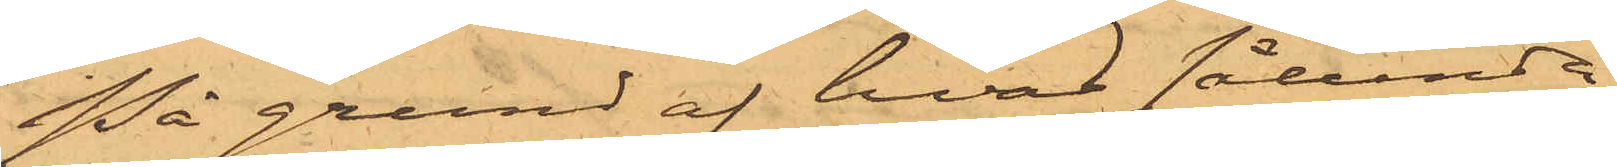På grund af hvad sålunda
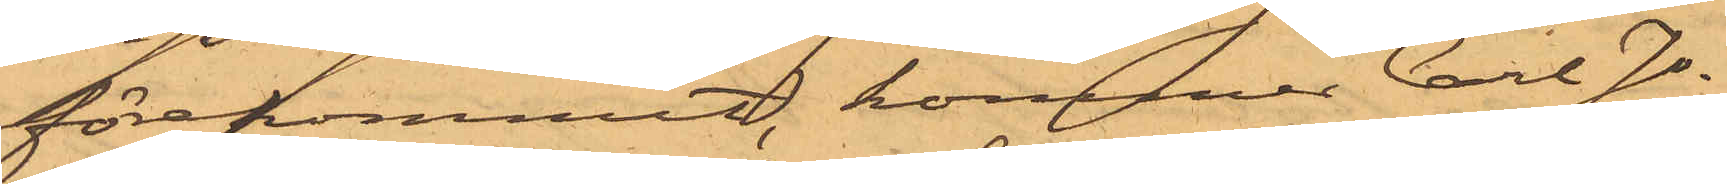förekommit, kommer Carl Jo¬
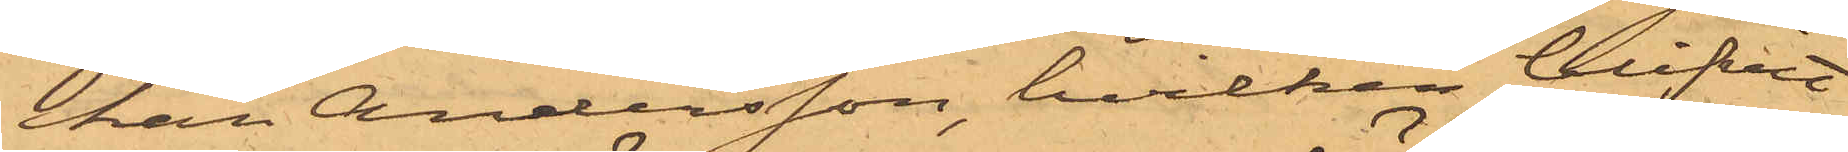han Andersson, hvilken blifvit
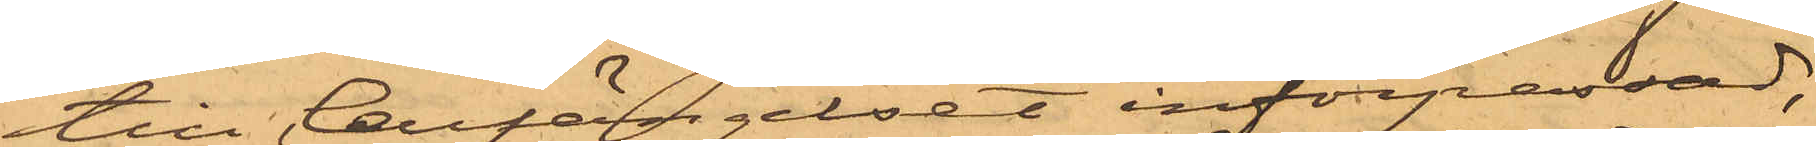till Cellfängelset införpassad,
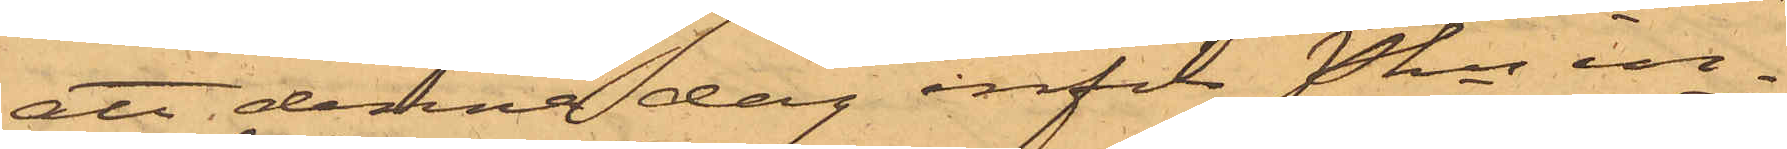att denna dag inför Pkn in¬
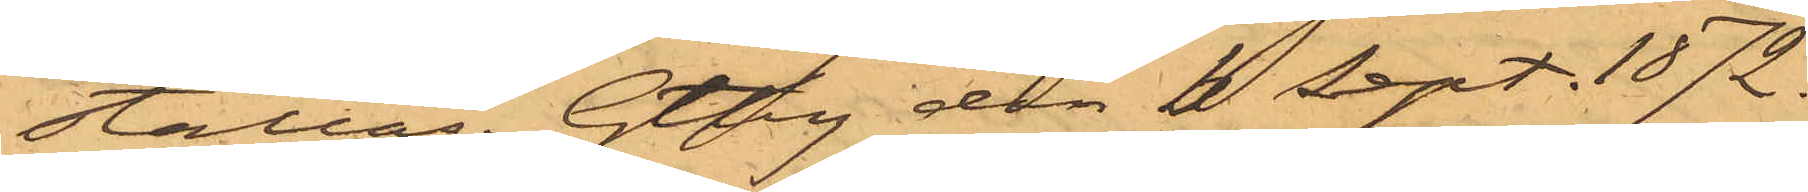ställas. Gtbg den 2 Sept. 1872.
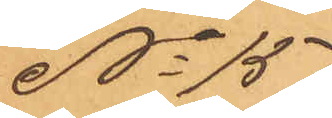No 151
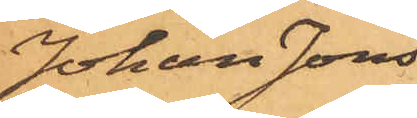Johan Jons¬
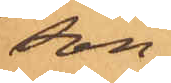son
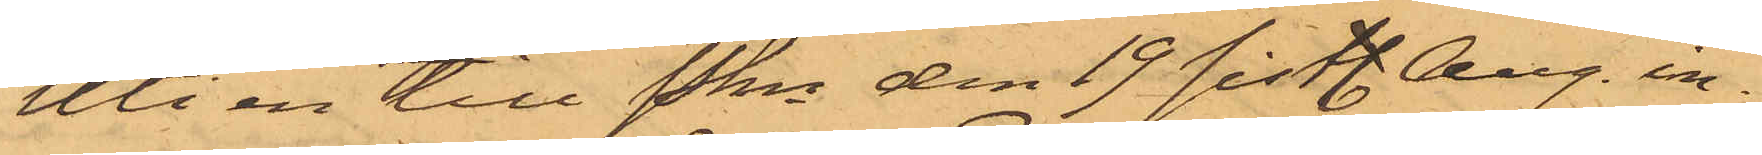Uti en till Pkn den 19 sistl. Aug. in¬
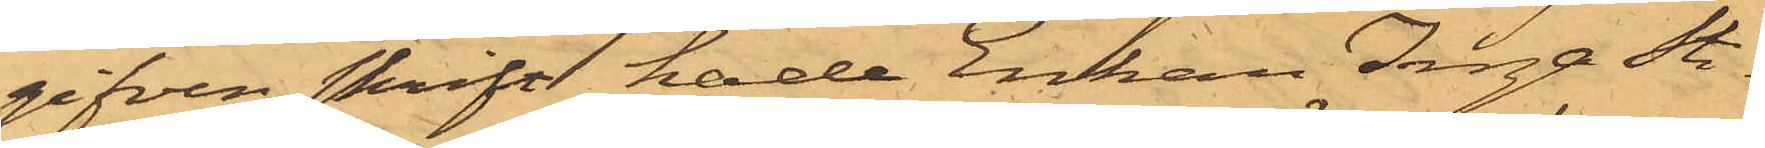gifven skrift hade Enkan Inga Sti¬
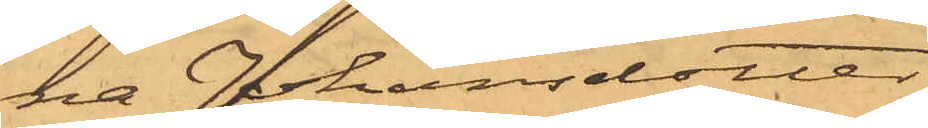na Johansdotter
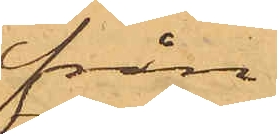från
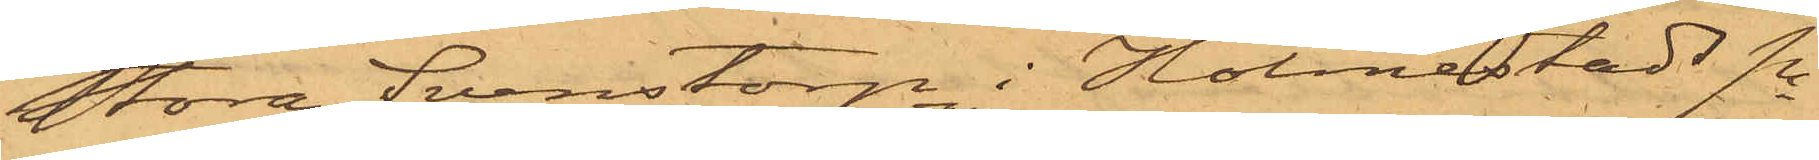Stora Svenstorp i Holmestads Sn
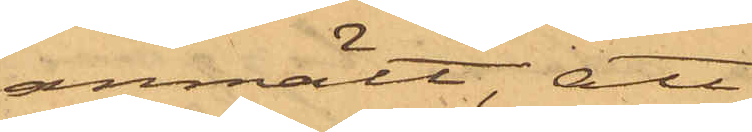anmält, att
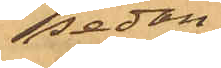sedan
